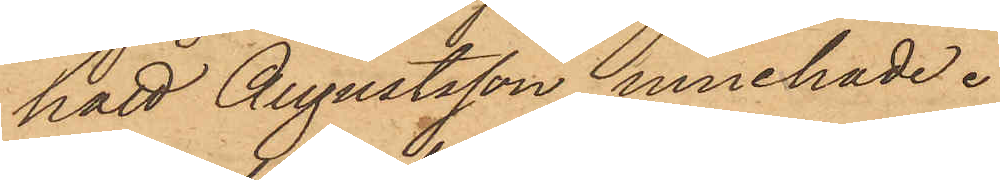hatt Augustsson innehade.
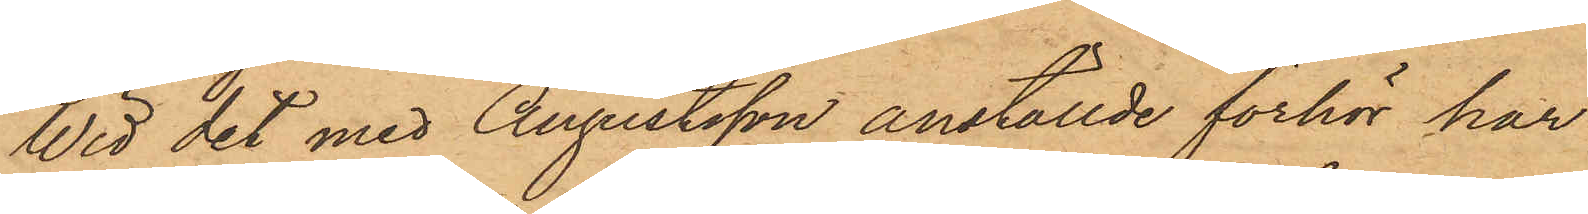Wid det med Augustsson anställde förhör har
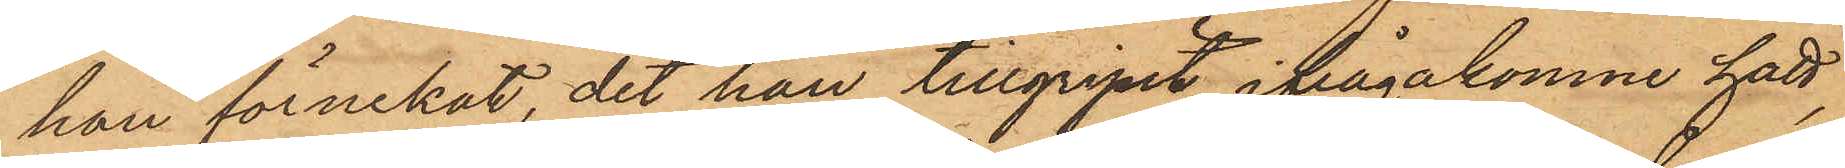han förnekat, det han tillgripit ifrågakomne hatt,
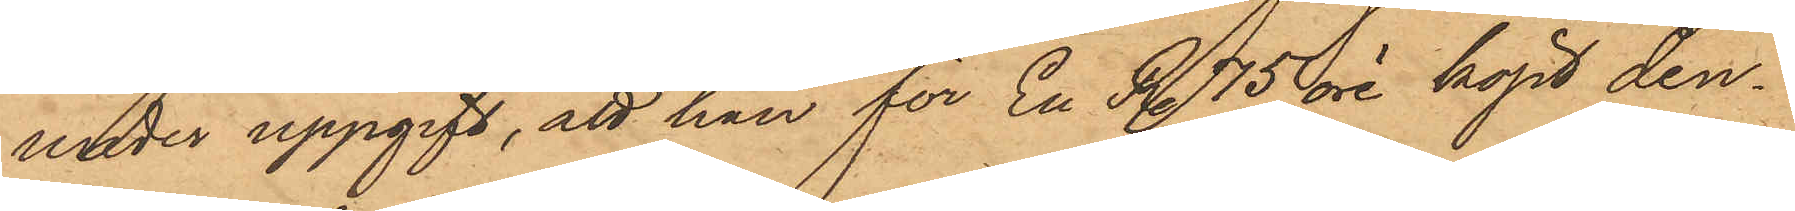under uppgift, att han för En Rdr 75 öre köpt den¬
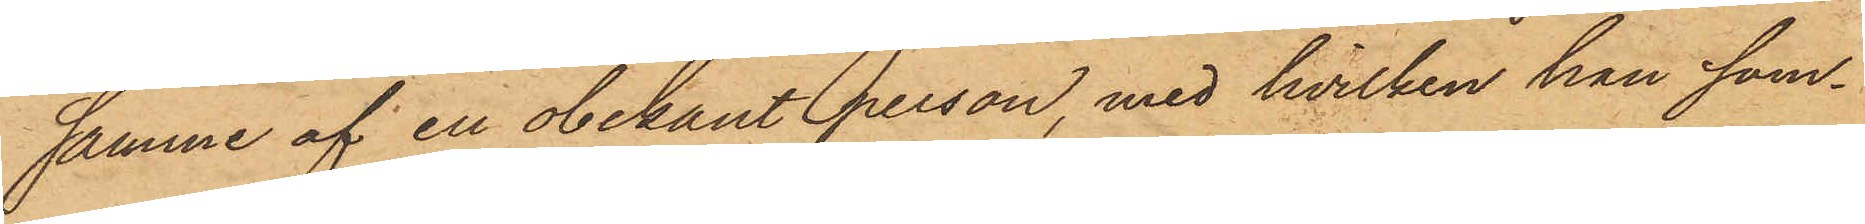samme af en obekant person, med hvilken han sam¬
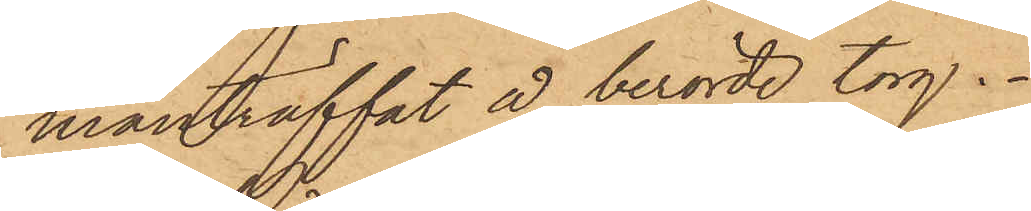manträffat å berörde torg.
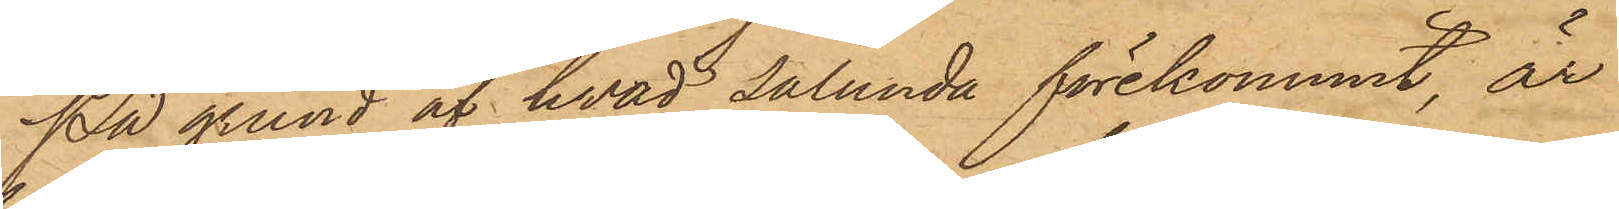På grund af hvad sålunda förekommit, är
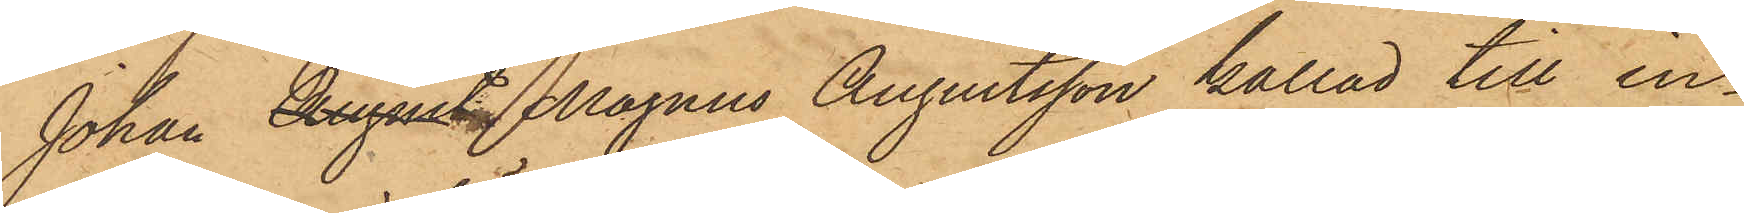Johan August Magnus Augustsson kallad till in¬
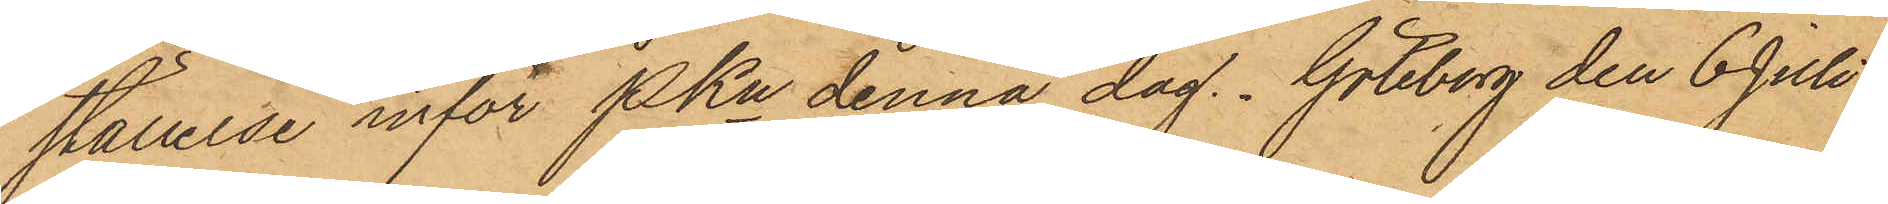ställelse inför PKn denna dag. Göteborg den 6 Juli
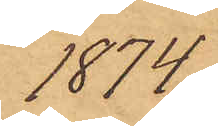1874
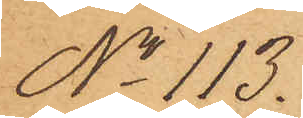No 113.
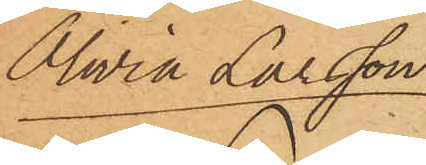Olivia Larsson
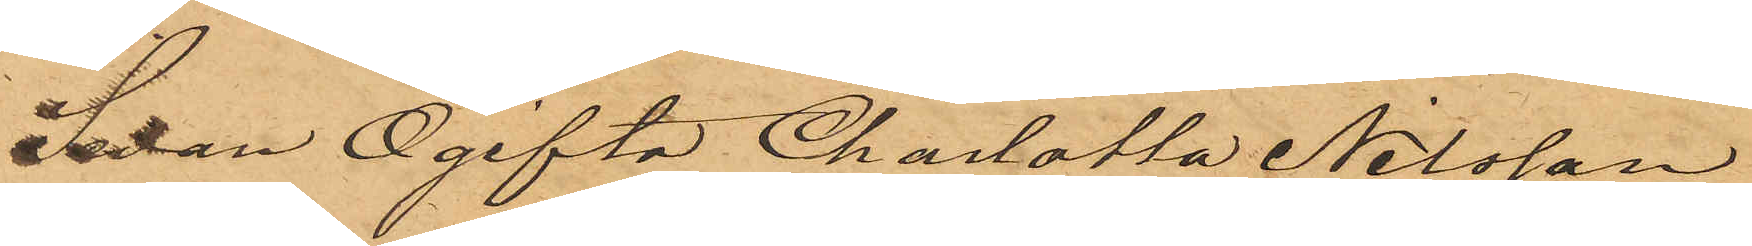Sedan Ogifta Charlotta Nilsson
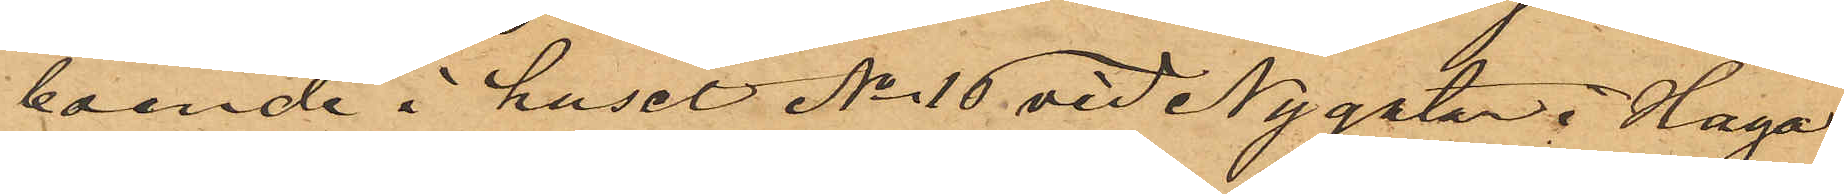boende i huset No 10 vid Nygatan i Haga
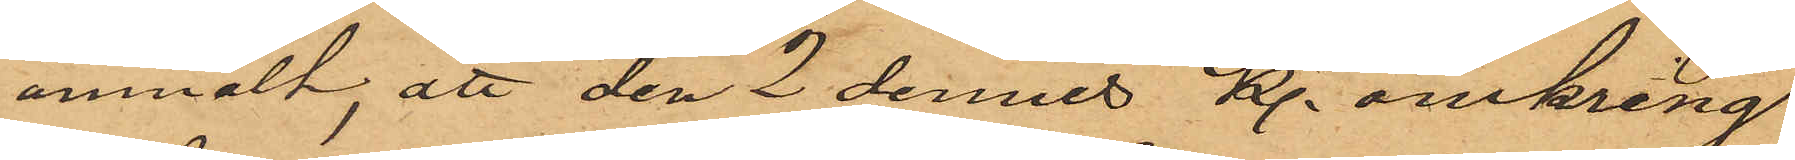anmält, att den 2 dennes kl. omkring
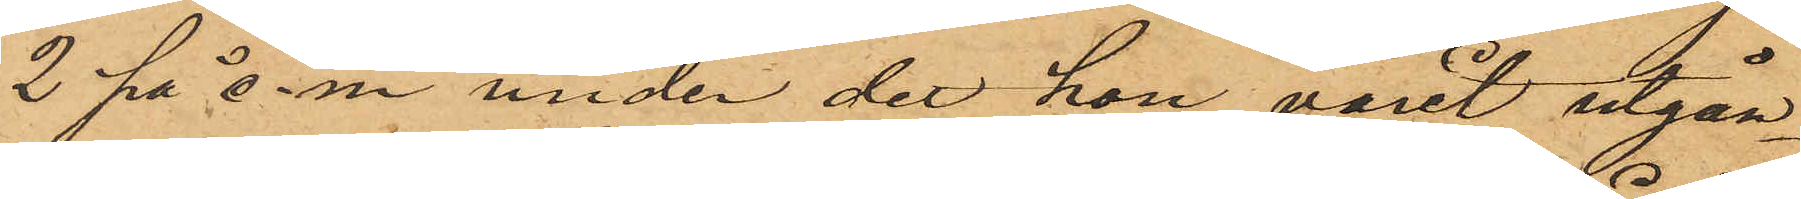2 på e.m. under det hon varit utgån¬
